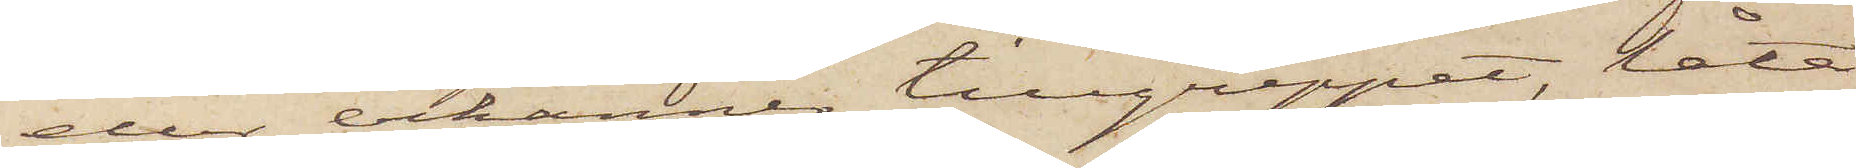eller erkänner tillgreppet, låta
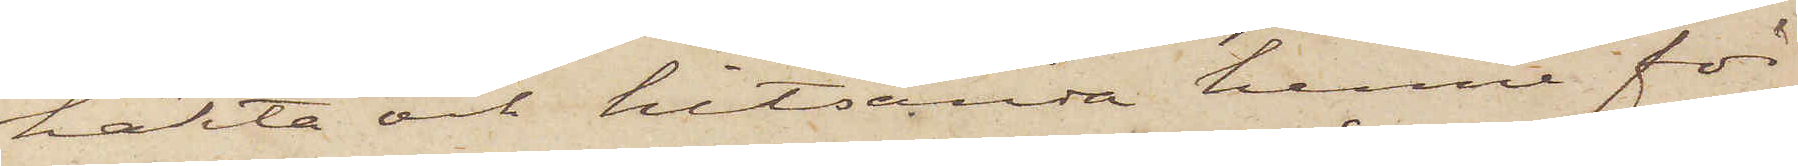häkta och hitsända henne för
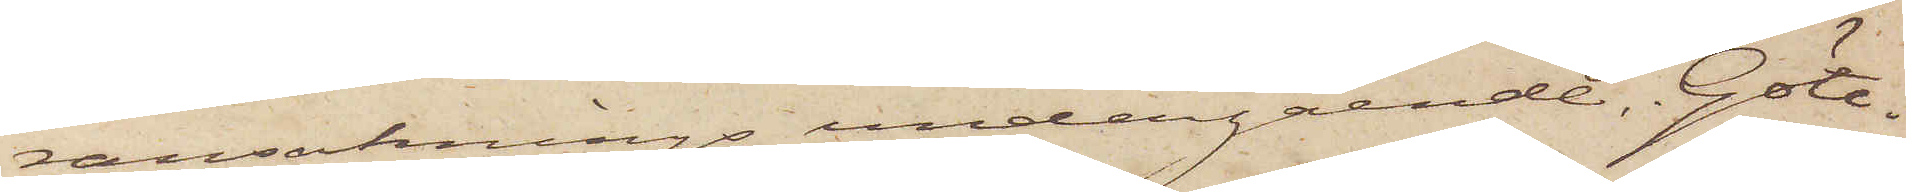ransaknings undergående. Göte¬
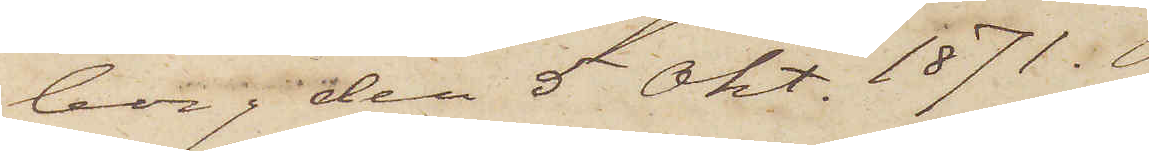borg den 5 Okt. 1871.
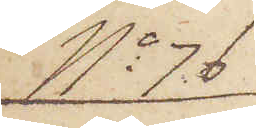No 76
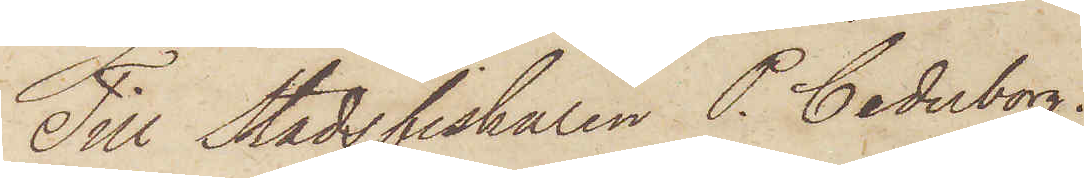Till Stadsfiskaren P. Cederborg.
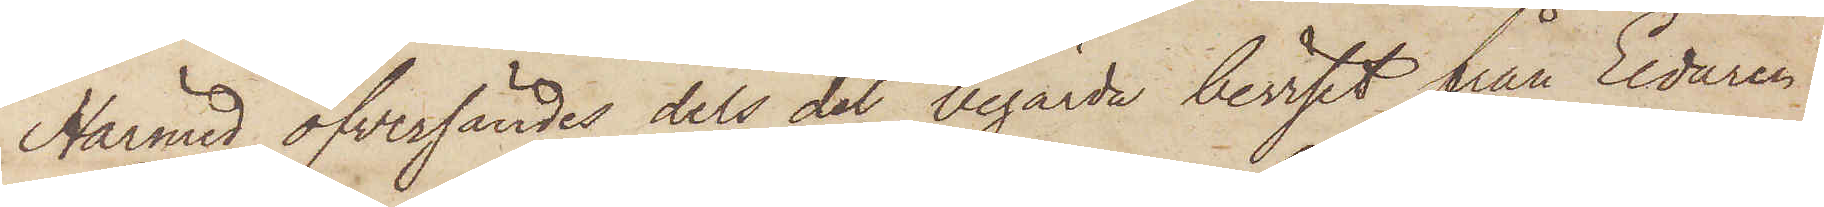Härmed öfversändes dels det begärda beviset från Eldaren
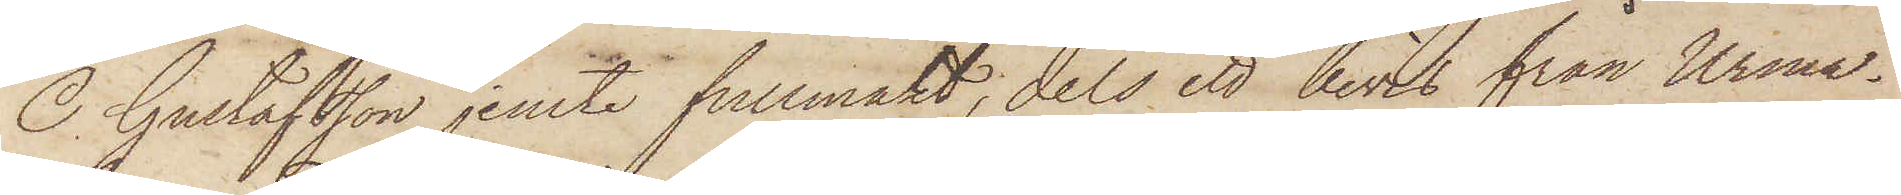O. Gustafsson jemte fullmakt, dels ett bevis från Urma¬
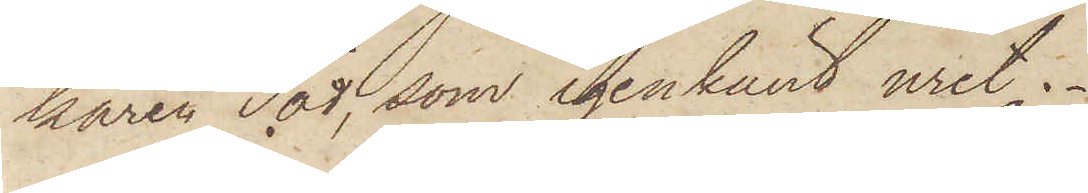karen Tod, som igenkänt uret.
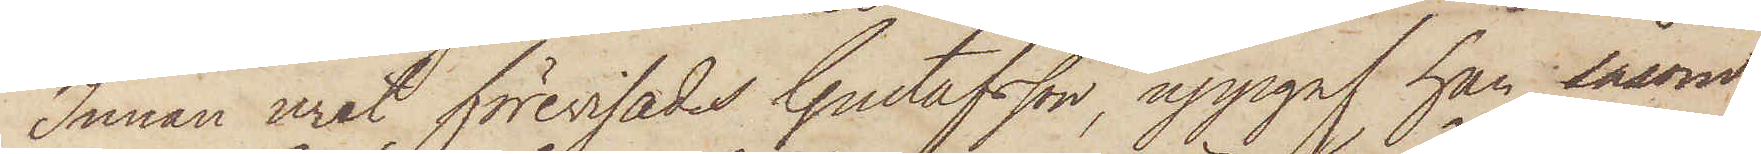Innan uret förevisades Gustafsson, uppgaf han såsom
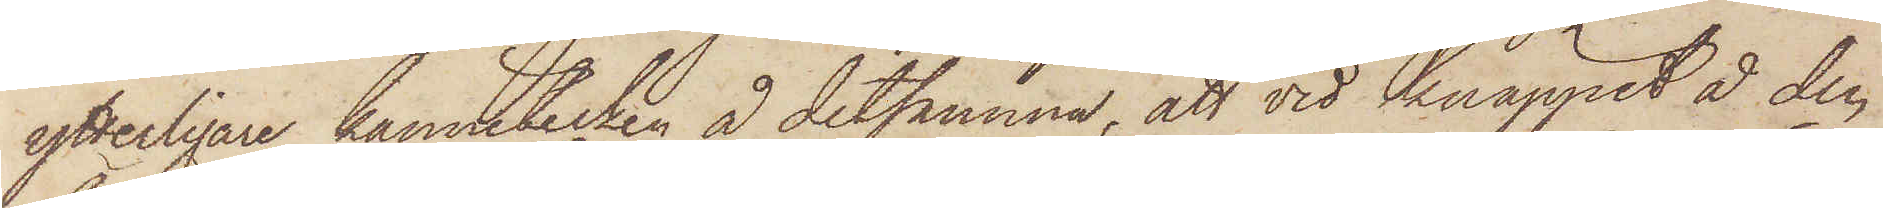ytterligare kännetecken å detsamma; att vid knäppet å den
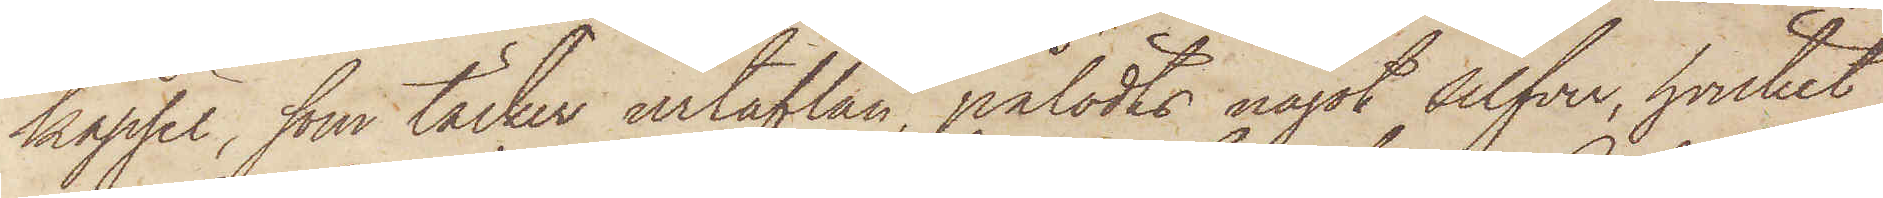kapsel, som täcker urtaflan, pålödts något silfver, hvilket
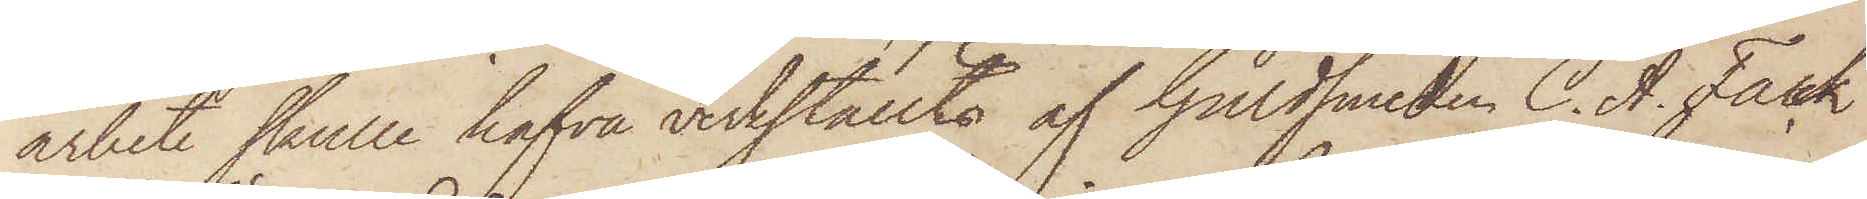arbete skulle hafva verkställts af Guldsmeden C. A. Falck
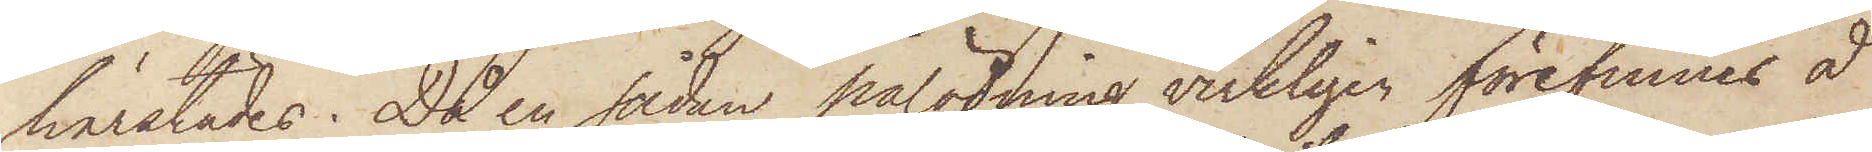härstädes. Då en sådan pålödning verkligen förefinnes å
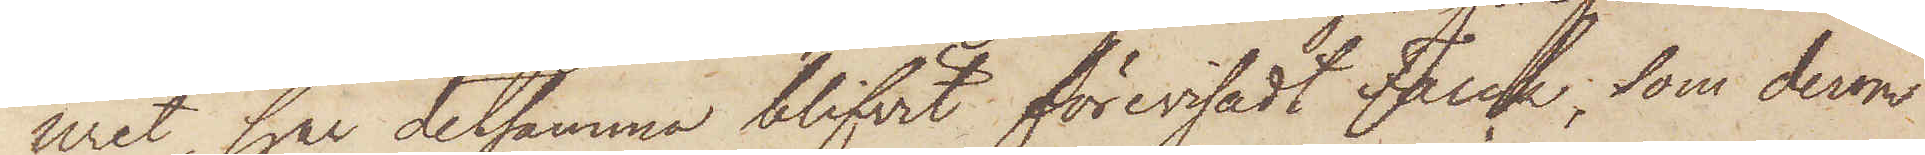uret, har detsamma blifvit förevisadt Falck, som derom
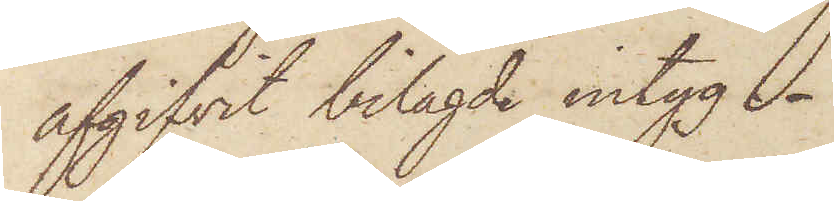afgifvit bilagde intyg. 
